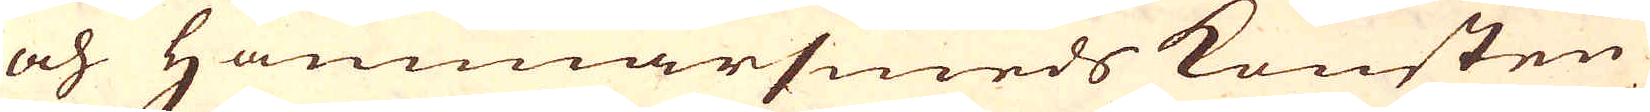och Hammarsmeds konsten
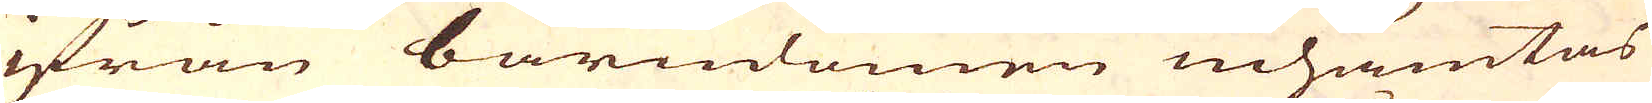ifrån barndomen inhämtas
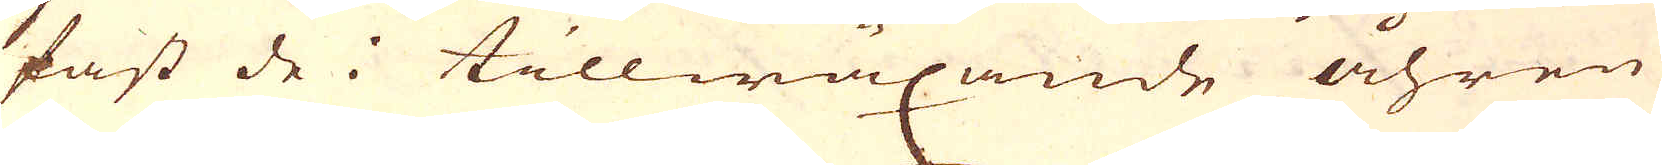fast de i tillwäxande åhren
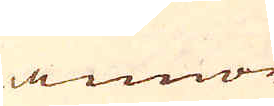annor
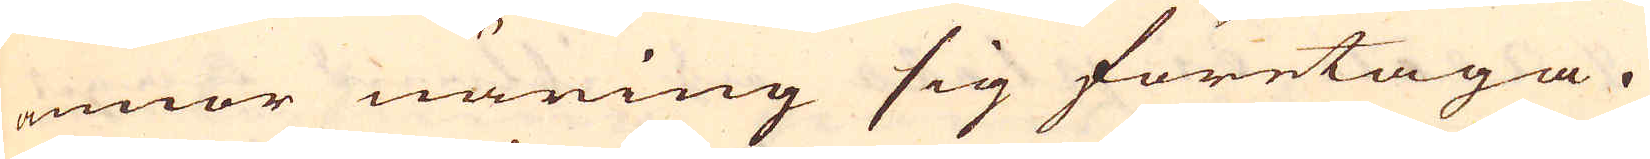annor näring sig företaga.
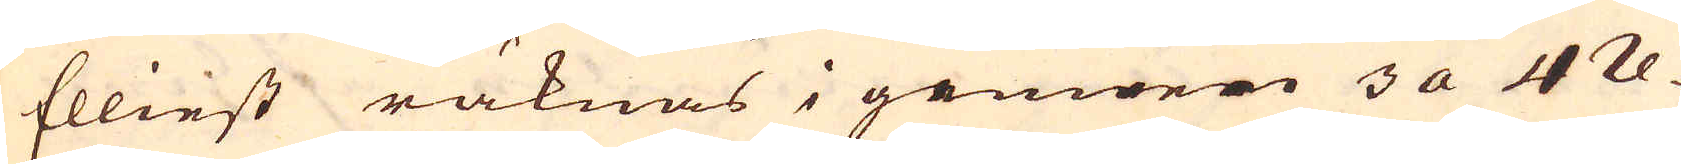Elliest räknas i gemen 3 a 4 re-
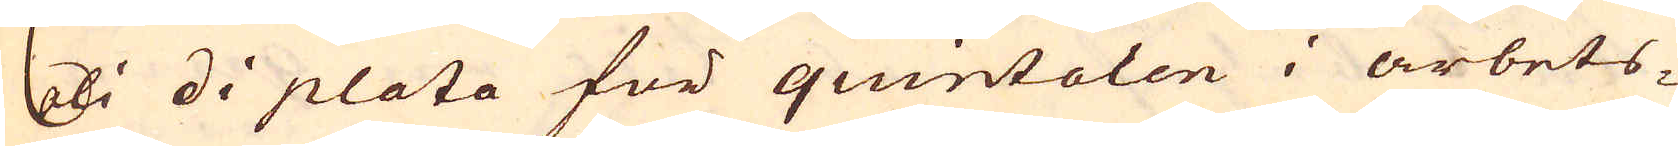ali di plata för quintalen i arbets-
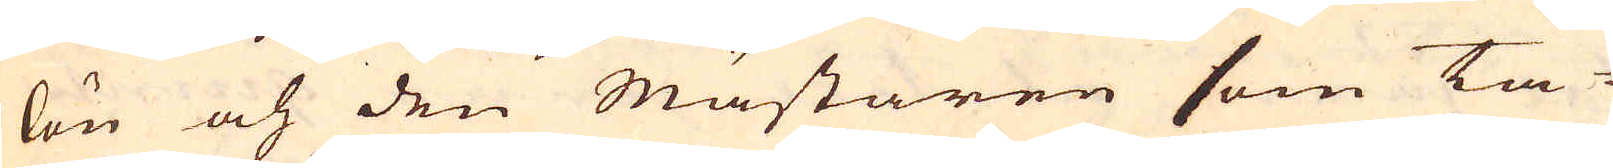lön och den Mästaren som ta-
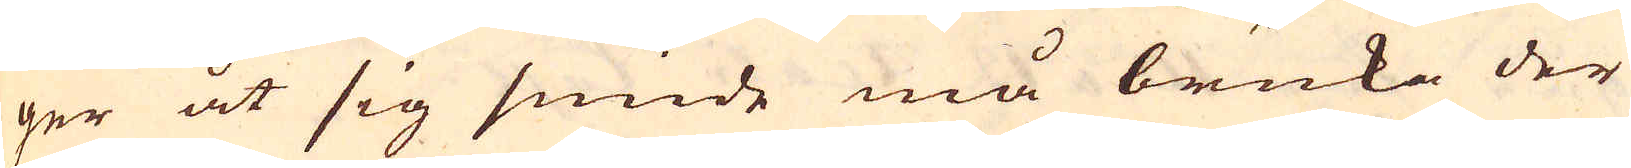ger åt sig smide må bruka der
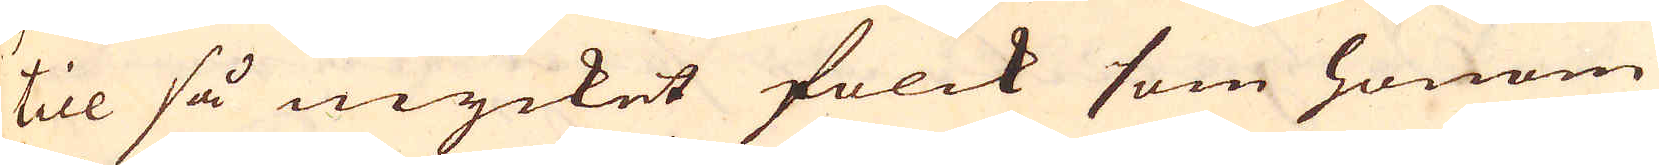till så mycket folck som honom
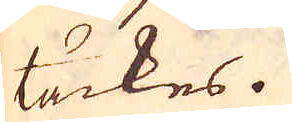täckes.
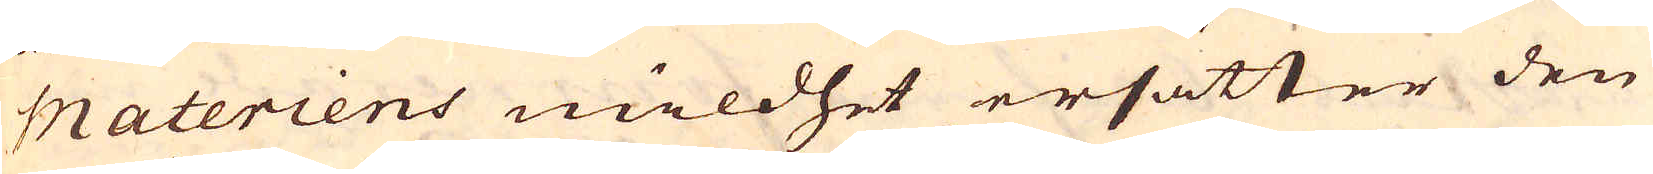Materiens mildhet ersätter den
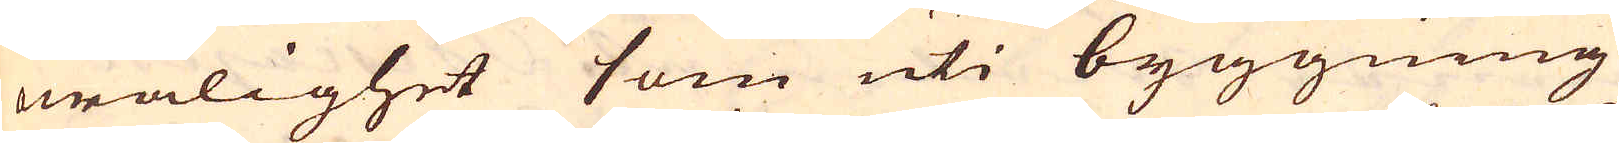owålighet som uti byggning
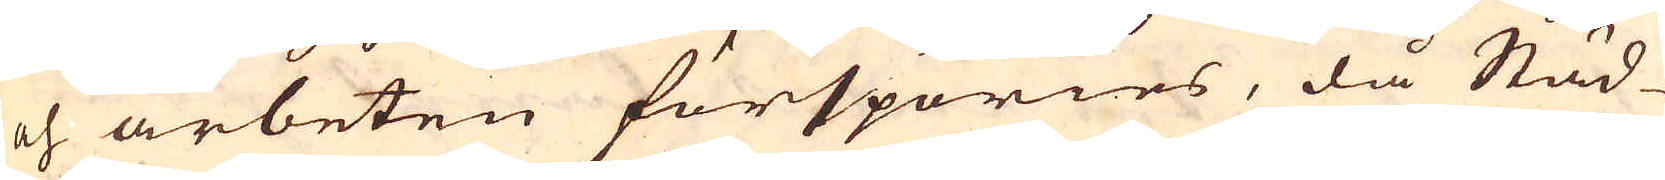och arbeten förspöries, då Städ-
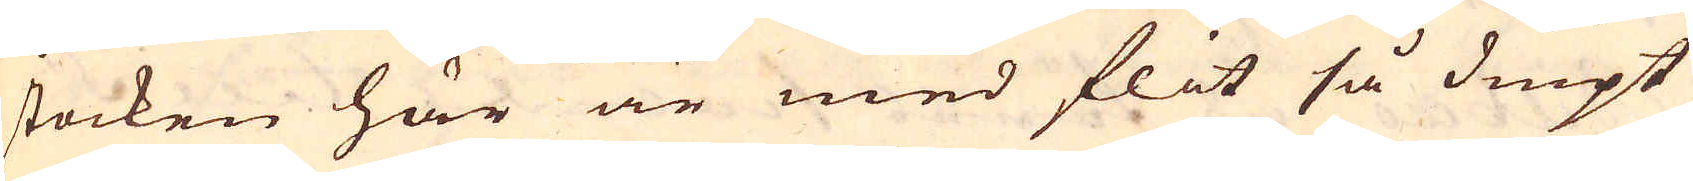stocken här är med flit så diupt
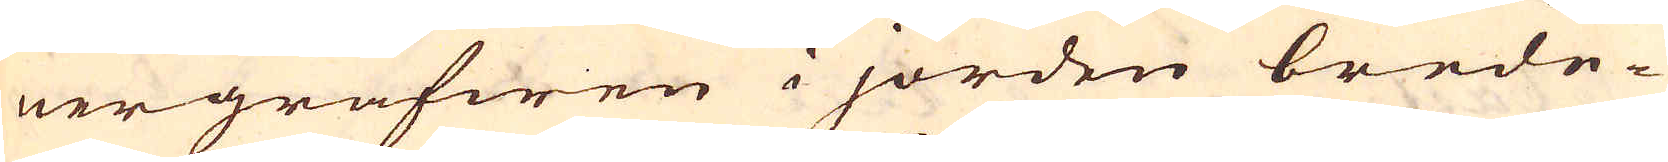nergräfwen i jorden brede-
